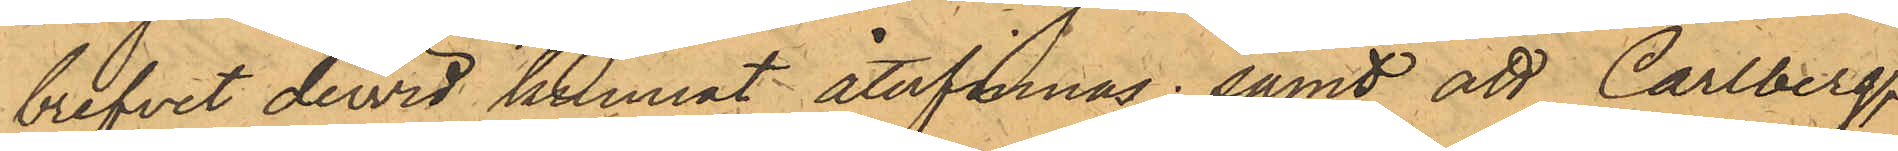brefvet dervid kunnat återfinnas; samt att Carlberg,
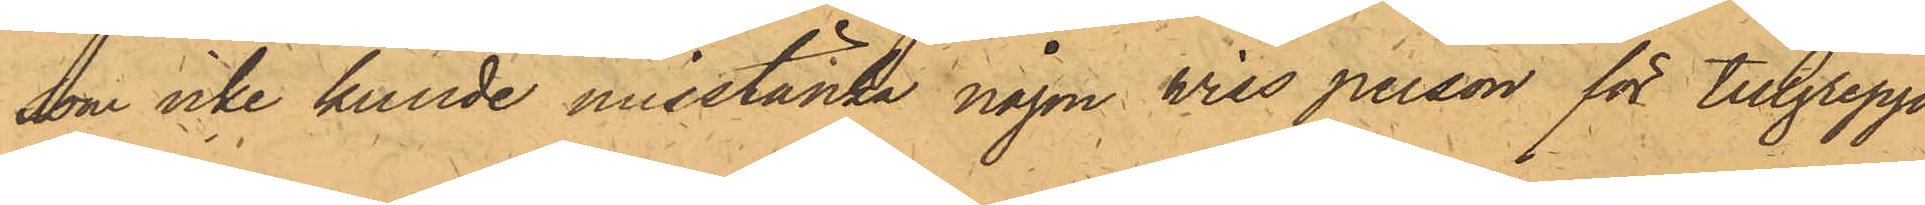som icke kunde misstänka någon viss person för tillgrepp,
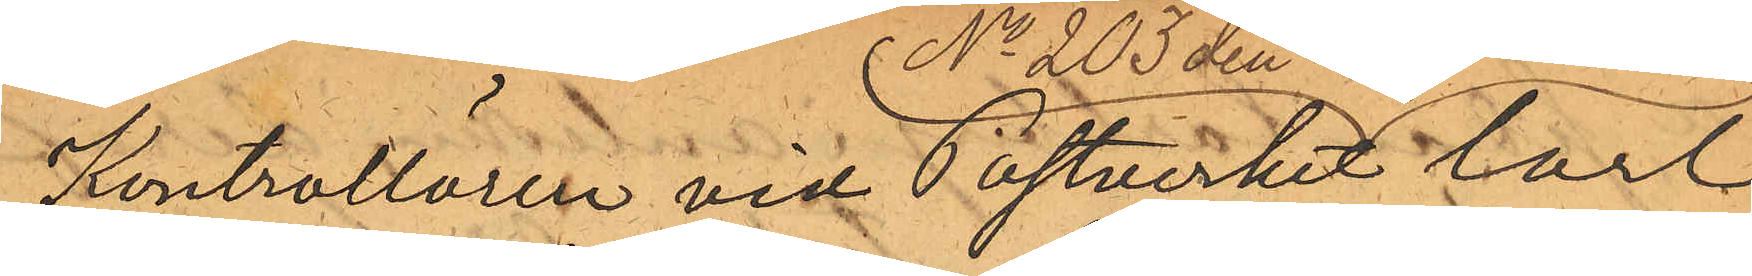Kontrollören vid Postverket Carl
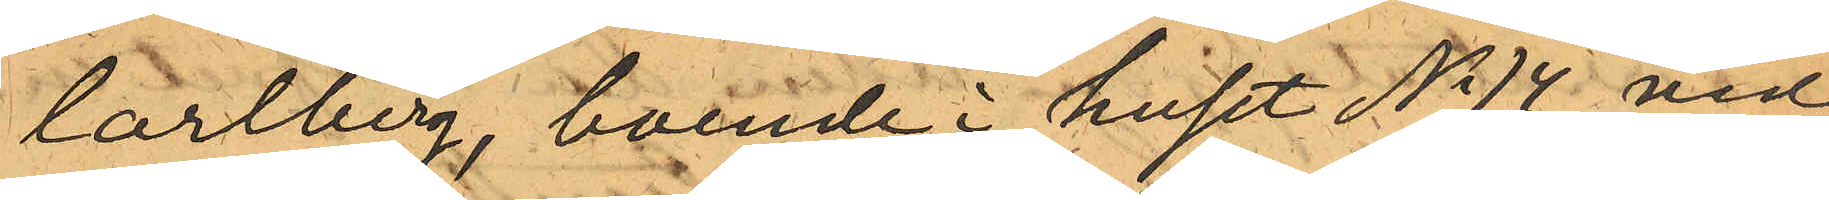Carlberg, boende i huset No 14 vid
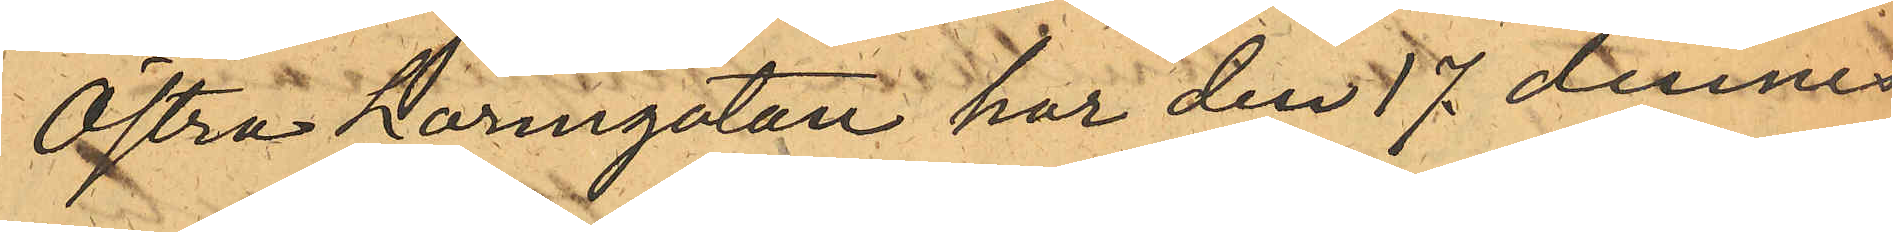Östra Larmgatan har den 17 dennes
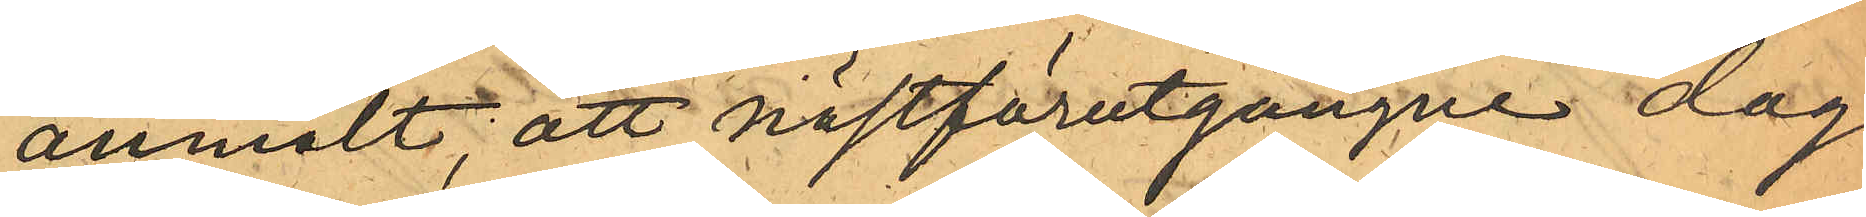anmält att nästförutgångne dag
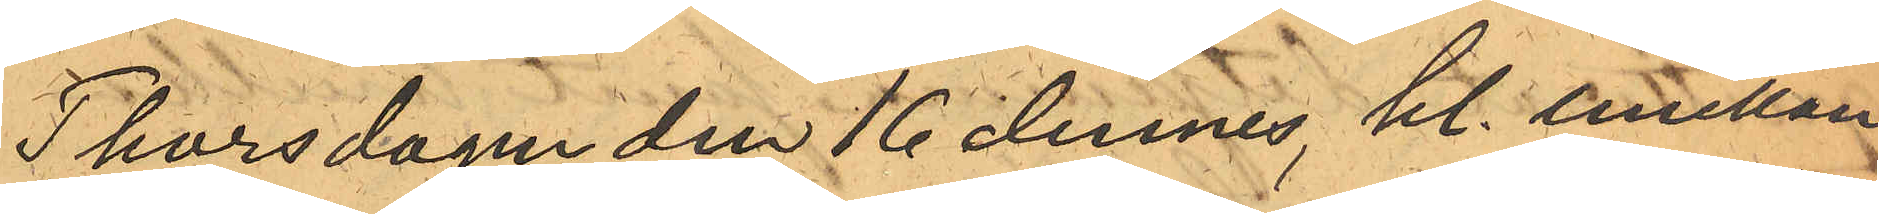Thorsdagen den 16 dennes kl. emellan
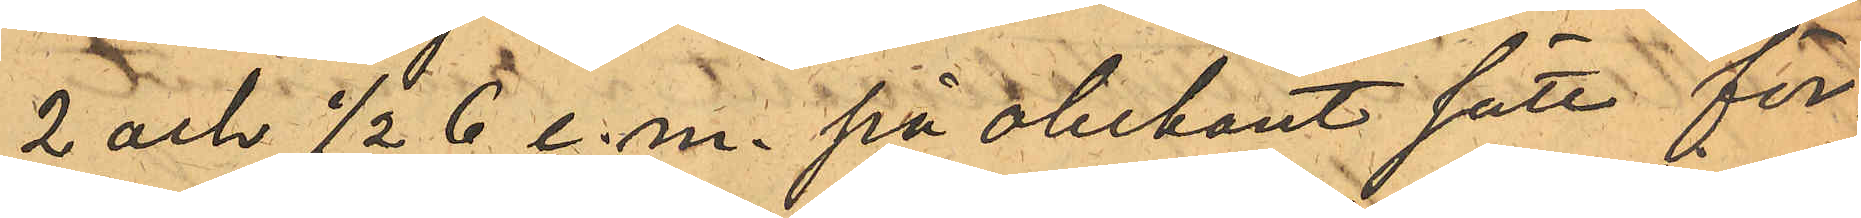2 och 1/2 6 e.m. på obekant sätt för¬
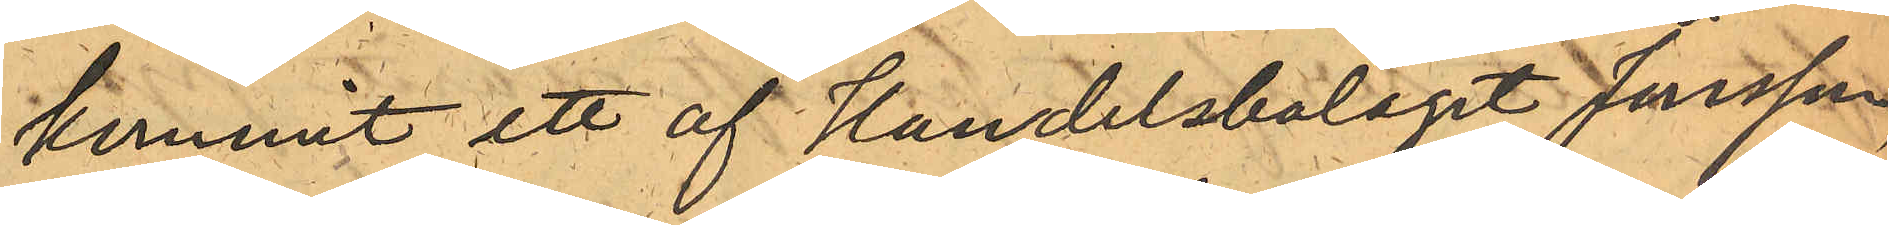kommit ett af Handelsbolaget Jansson,
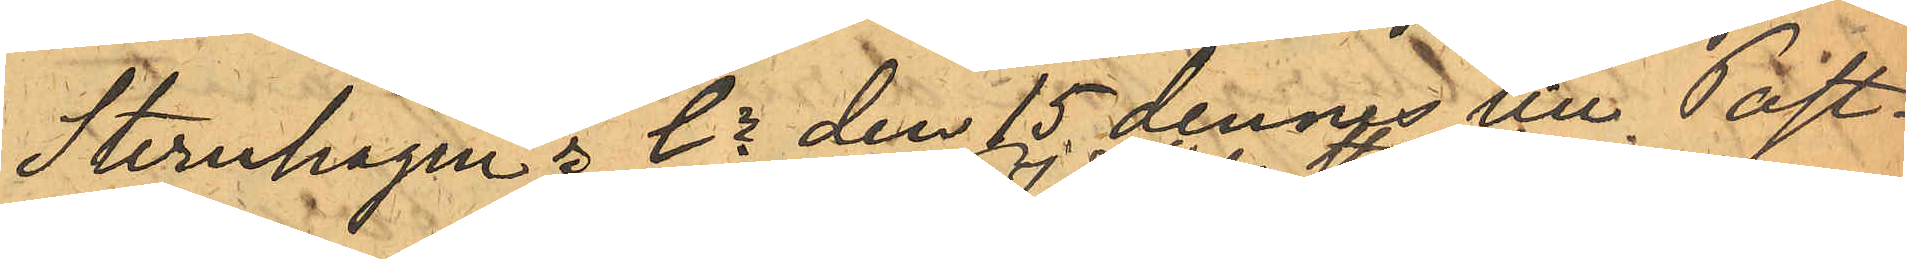Sternhagen & Co den 15 dennes till Post¬
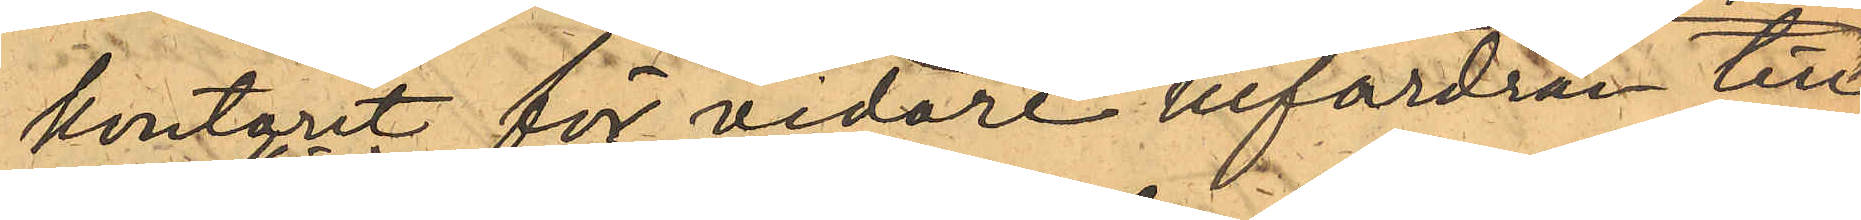kontoret för vidare befordran till¬
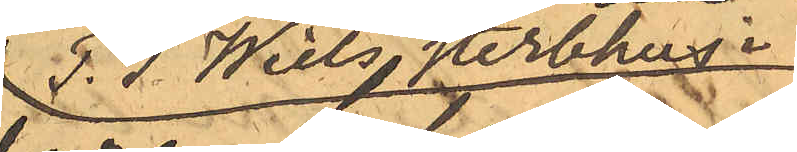P. J. Wiels Sterbhus i
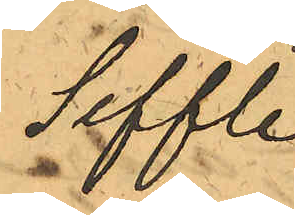Seffle
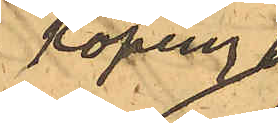Köping
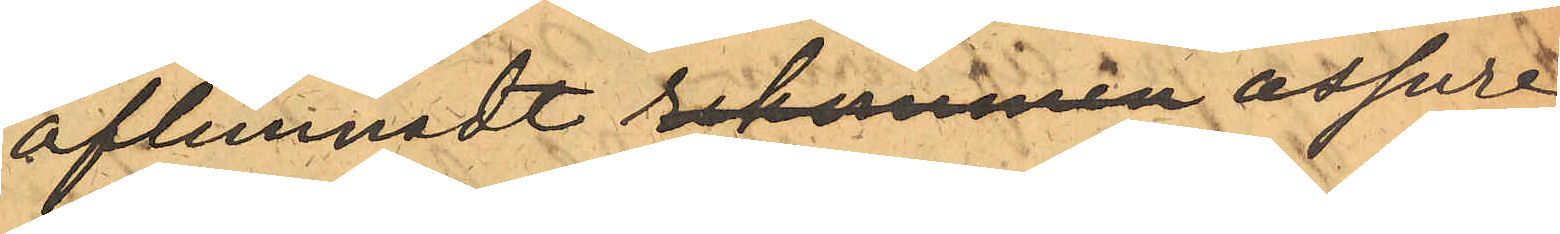aflemnadt rekommen assure¬
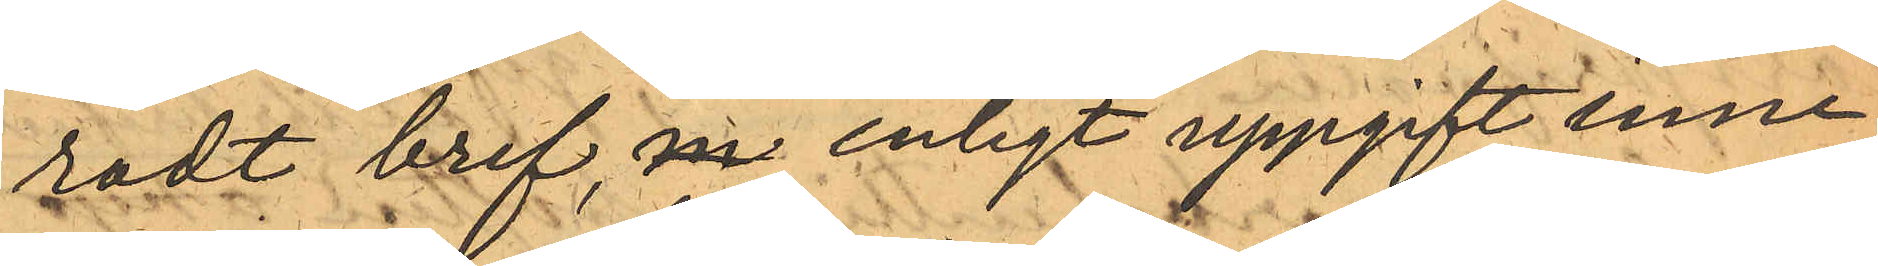radt bref, m enligt uppgift inne¬
